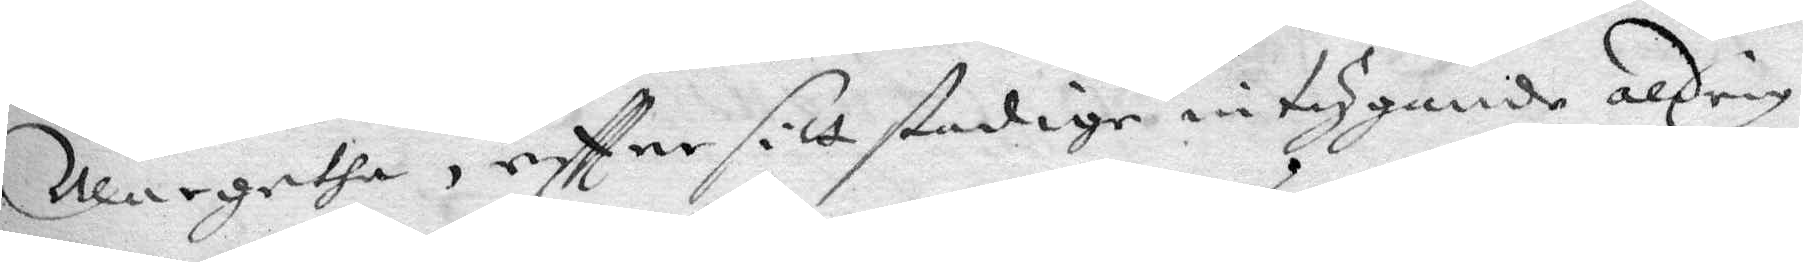Margeta, eftter sitt stadige intygande aldrig
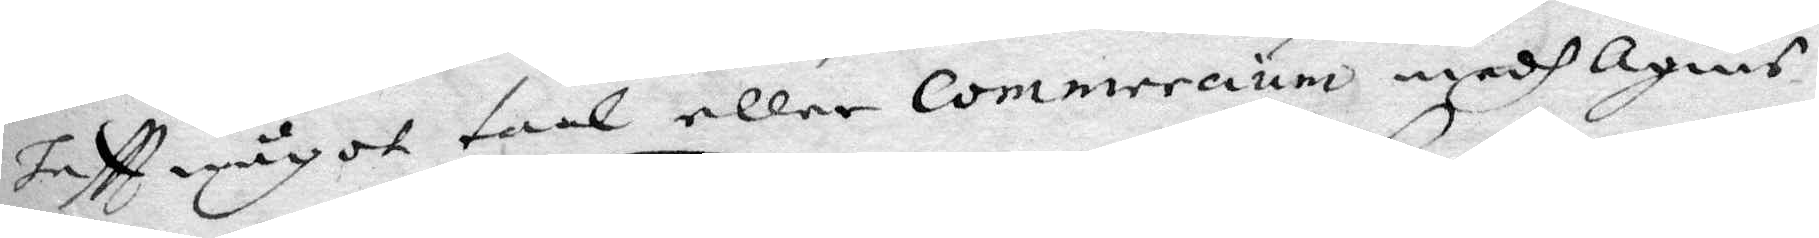haftt något taal eller commeraum medh Ahnis
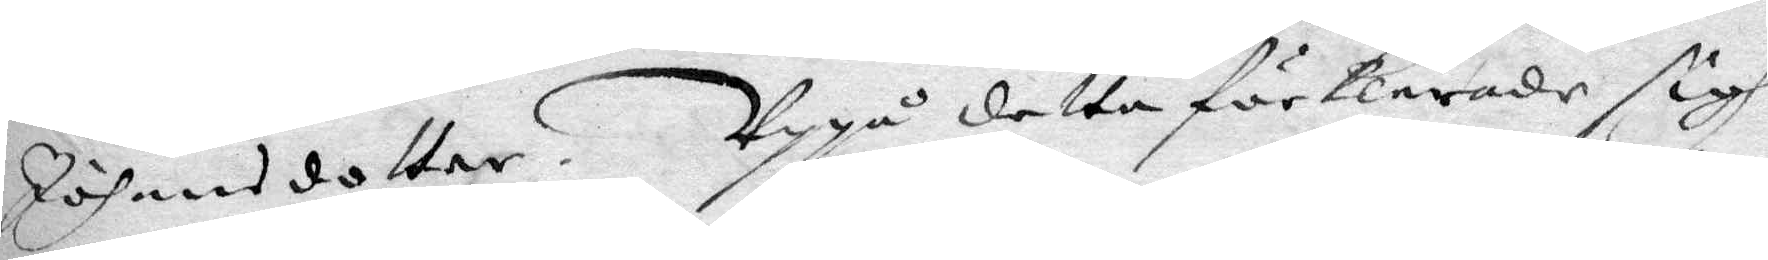Johansdotter. Uppå detta förklarade sigh
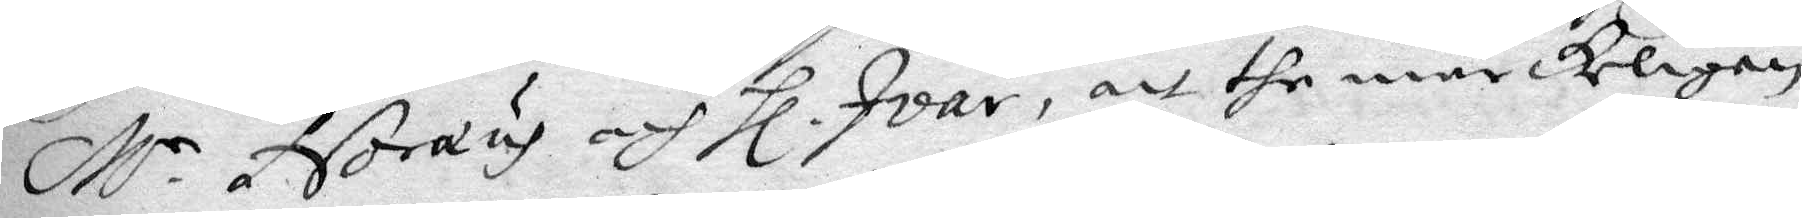M.r Noræus och hl. Ivar, att the märckeligen
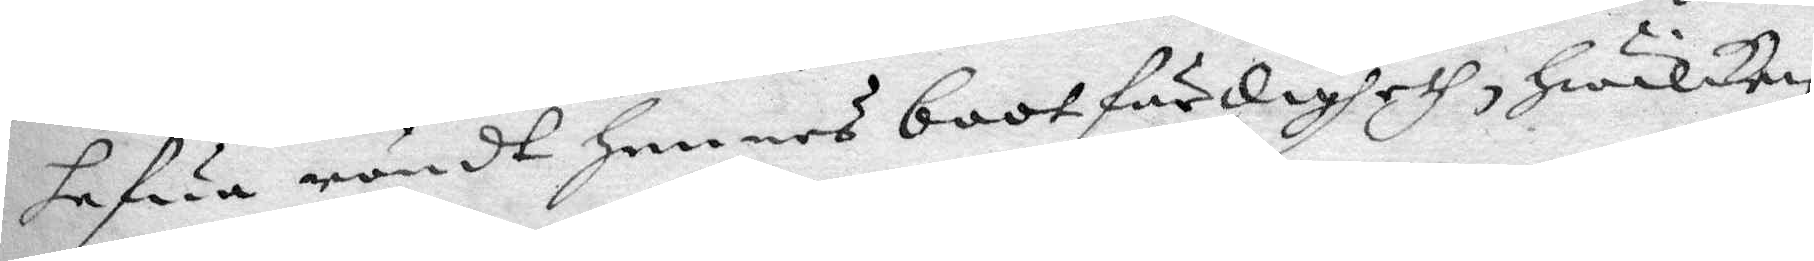hafua röndt hennes bootfärdigheth, hwilken
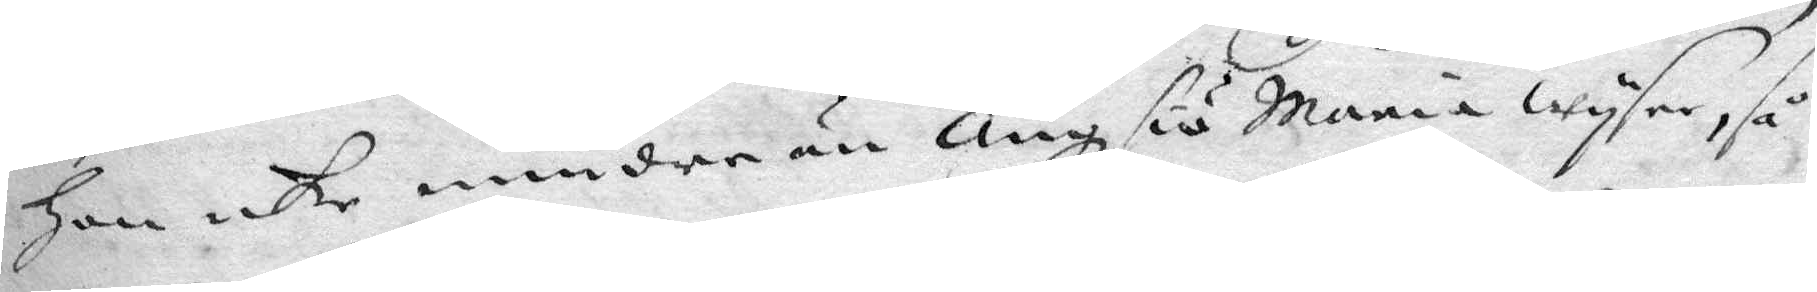han icke mindre än Ängsiö Maria wysar, så
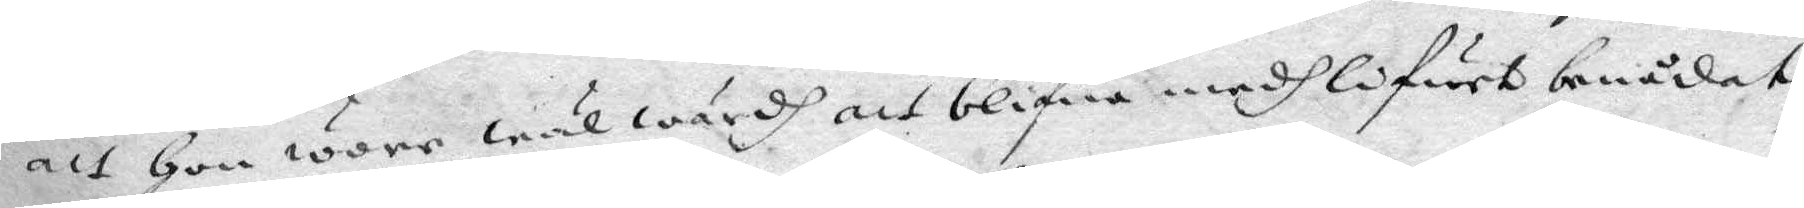att hon wore wäl wärdh att blifwa medh lifwet benådat,
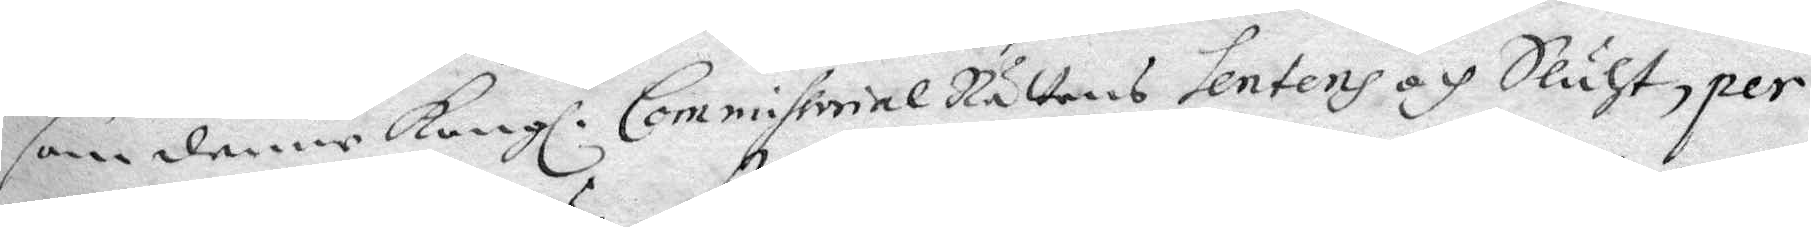som denne Kongl. CommissorialRättens sentens och Sluht, per
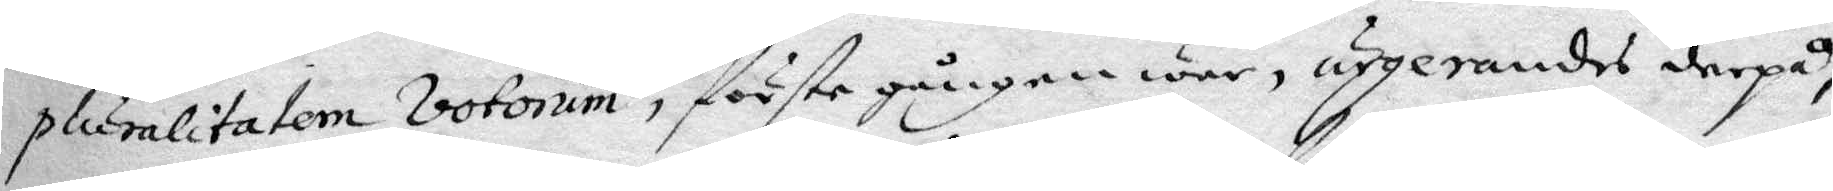plumlitatem votorum, förste gången war, urgerandes derpå,
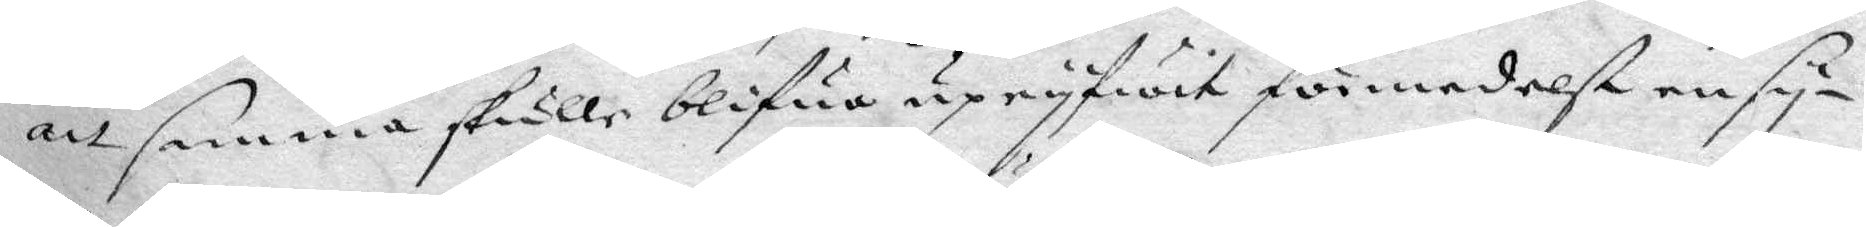att samma skulle blifwa upryfwit förmedelst ensy¬
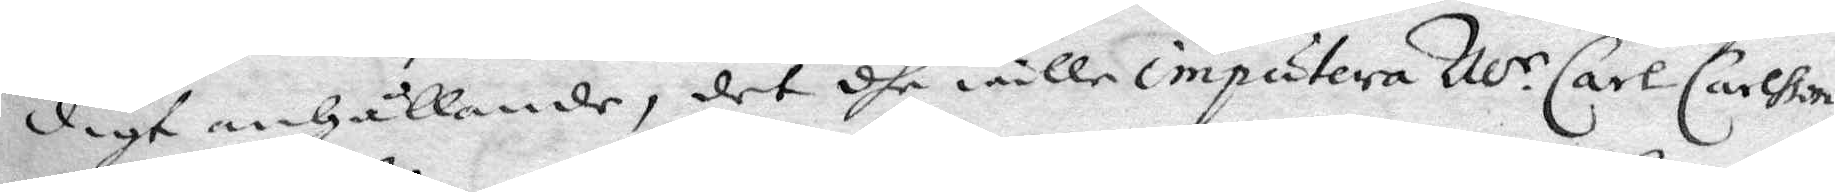digt anhållande, det dhe wille imputera M.r Carl Carslon
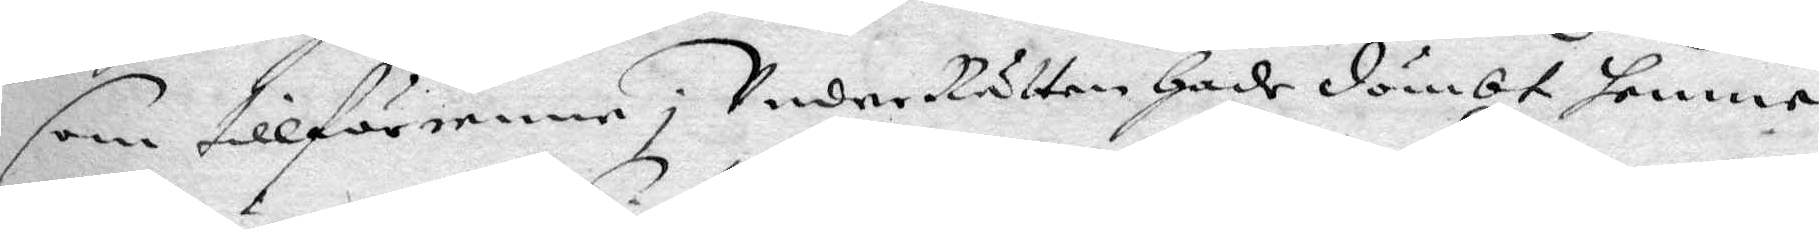sm tillförenne; Under Rätten hade dömbt henne
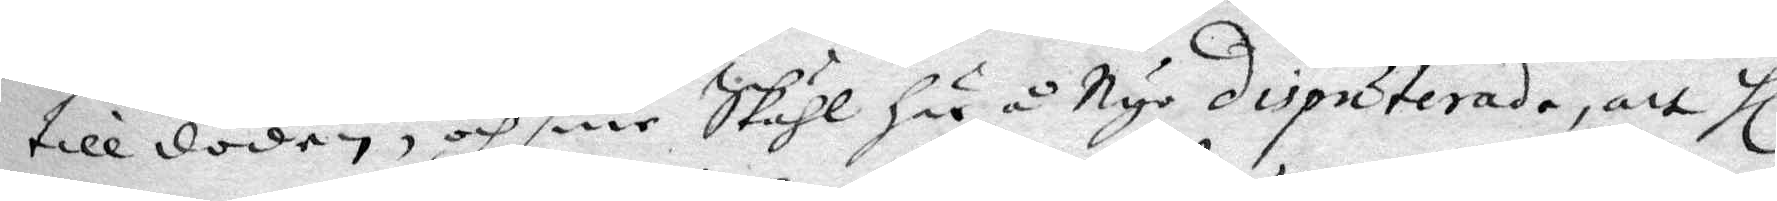till döden, och sine Skähl här å Nyo disputerade, att hl.
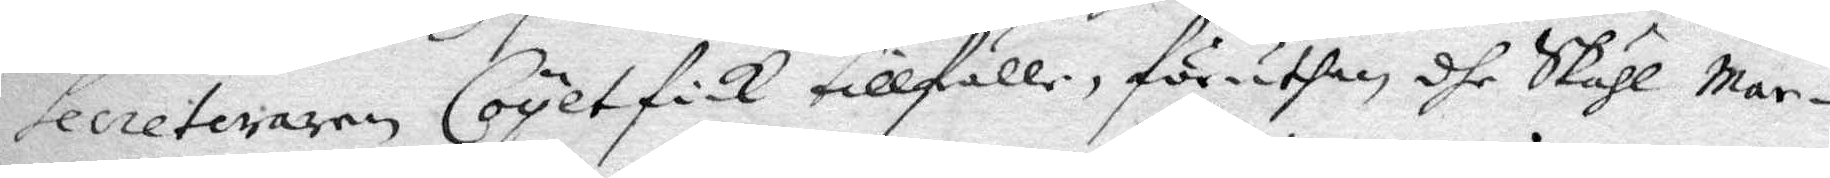secreteraren Coyet fick tillfälle, föruthan dhe Skähl Mar¬
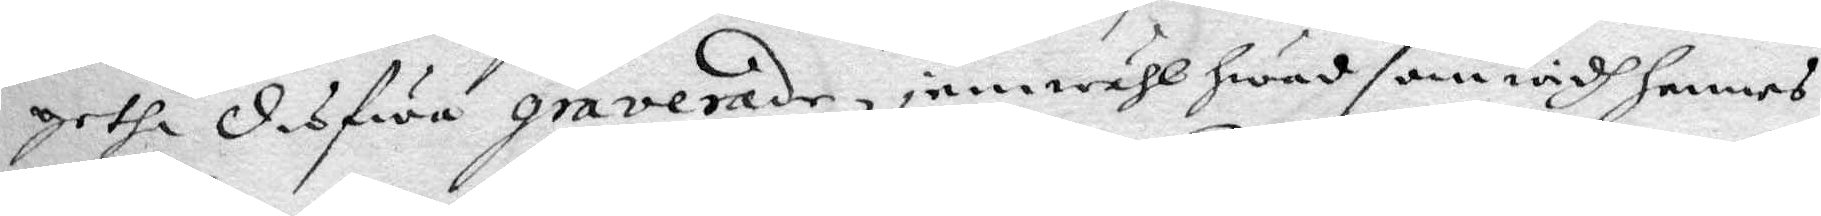geta desföre graverade, jämwähl hwad som widh hennes
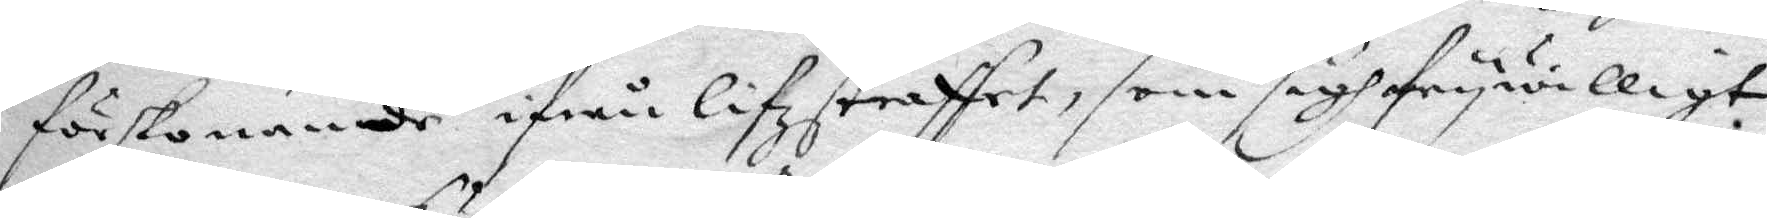förskonande ifrån Lifzstraffet, som sigh frywilligt
